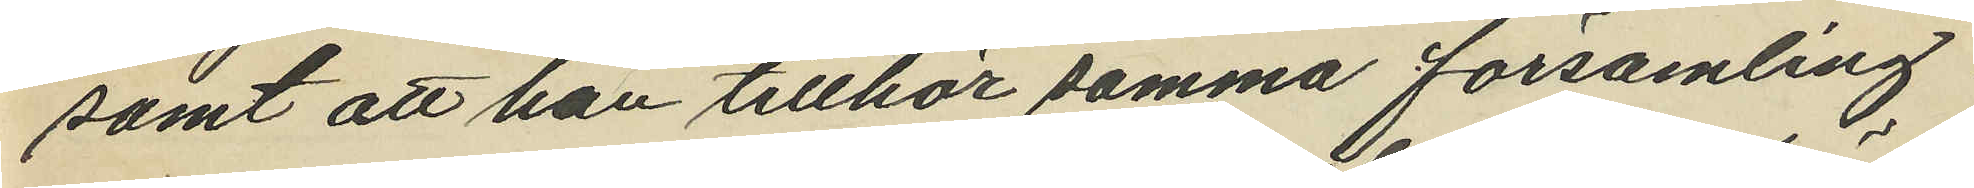samt att han tillhör samma församling
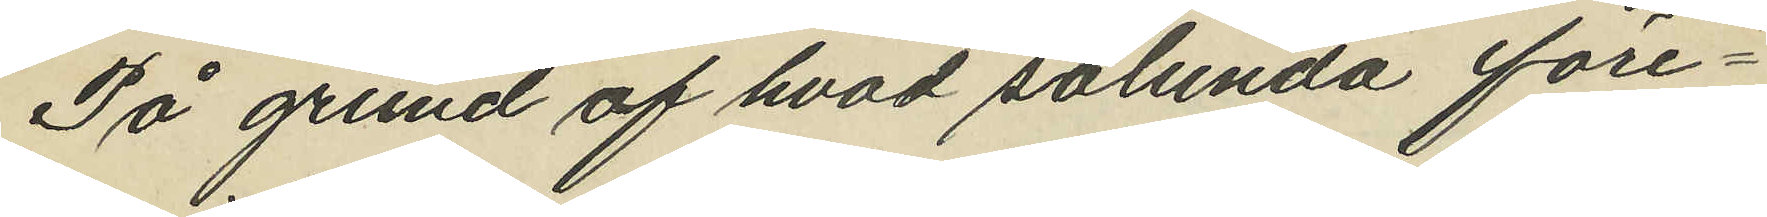På grund af hvad sålunda före¬
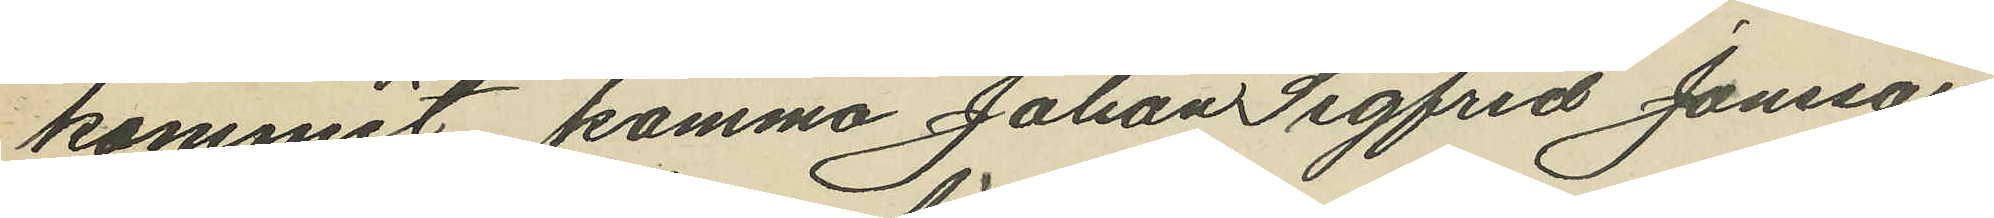kommit komma Johan Sigfrid Jonsson
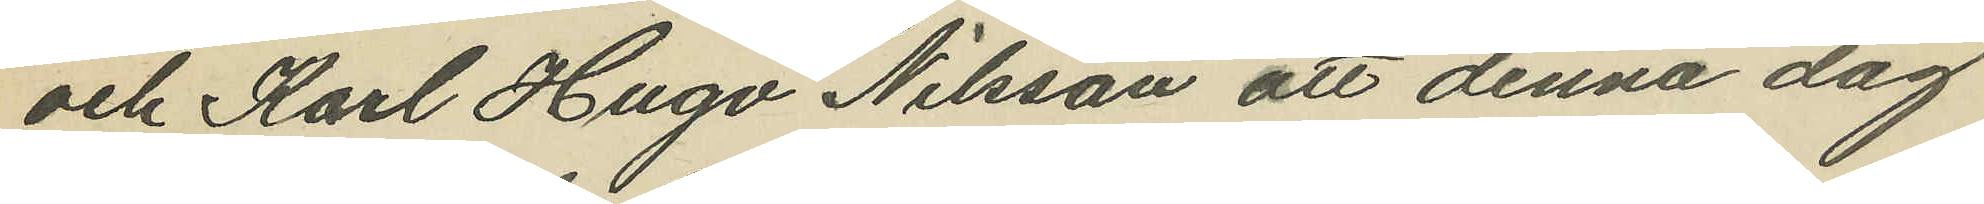och Karl Hugo Nilsson att denna dag
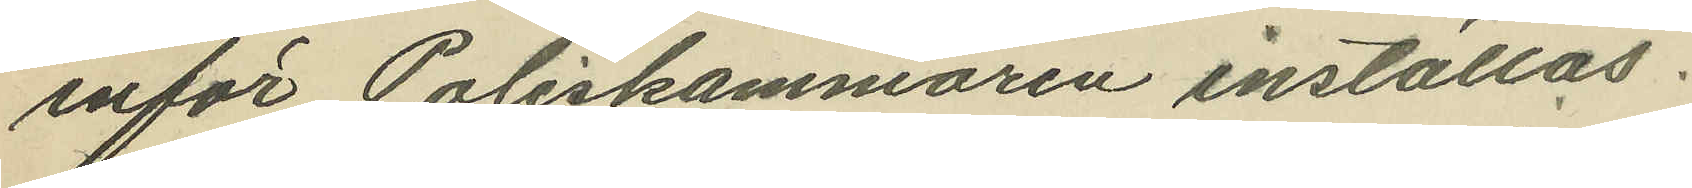inför Poliskammaren inställas.
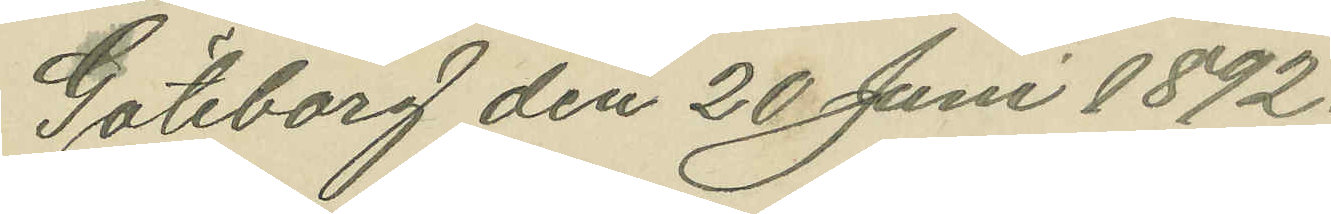Göteborg den 20 Juni 1892.
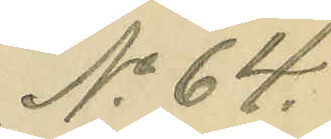No 64.
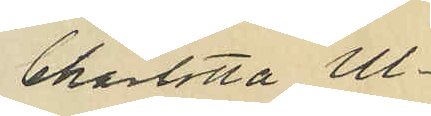Charlotta Ul¬
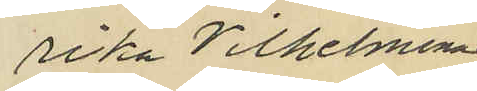rika Vilhelmina
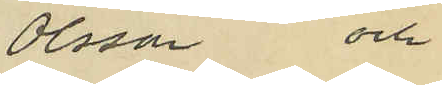Olsson och
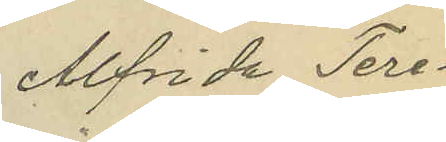Alfrida Tere¬
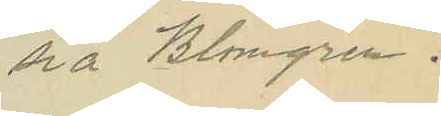sia Blomgren.
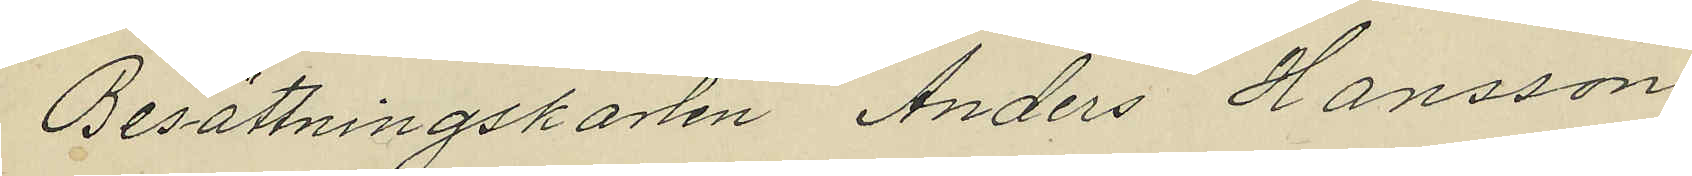Besättningskarlen Anders Hansson,
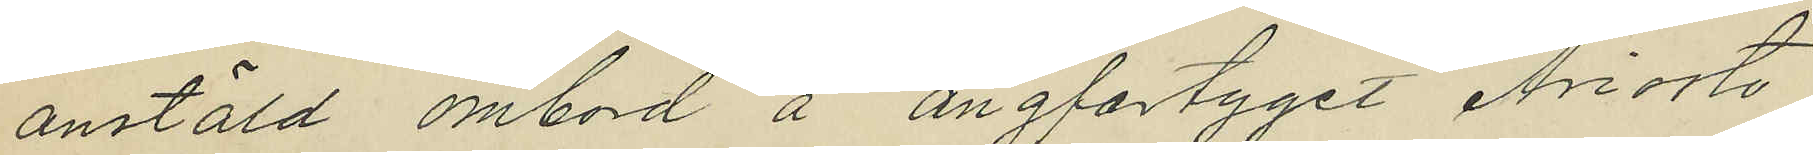anstäld ombod å ångfartyget "Ariosto",
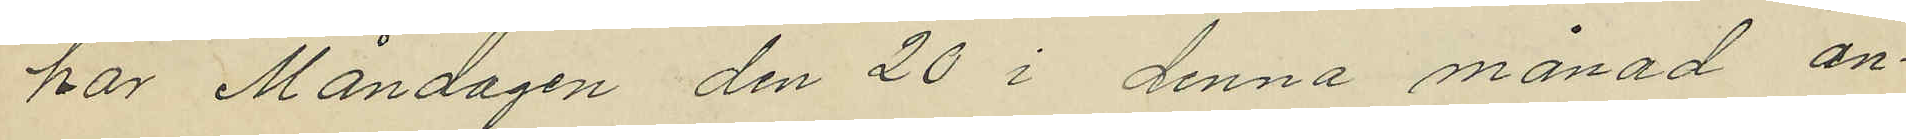har Måndagen den 20 i denna månad an¬
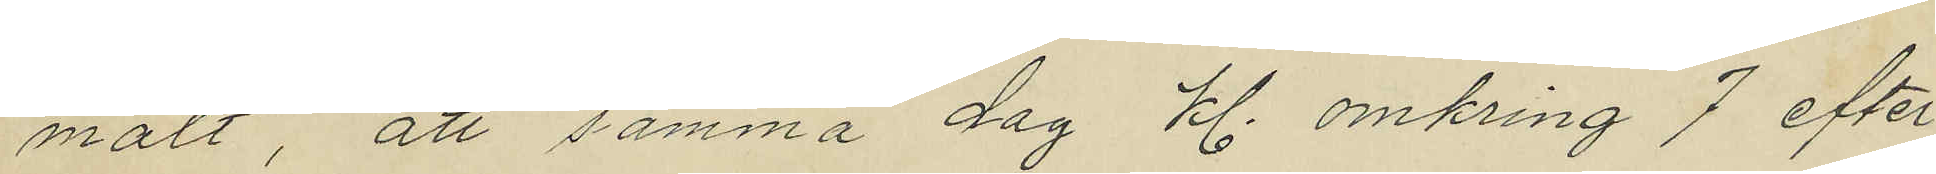mält, att samma dag kl. omkring 7 efter
